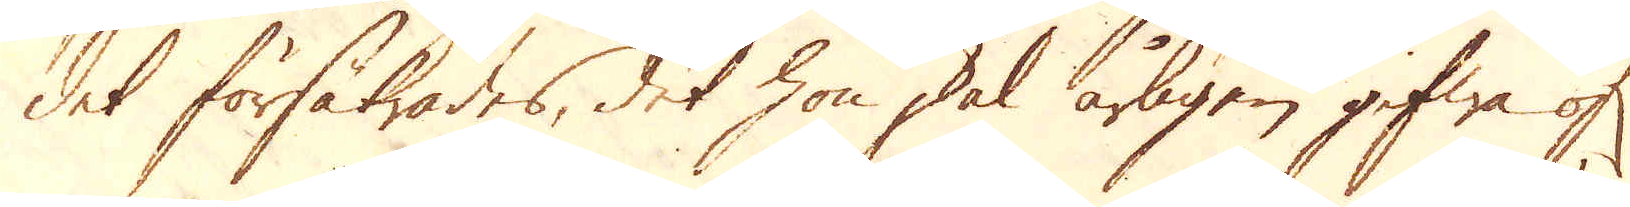det försäkrades, det hon skal årligen gifwa öf:r
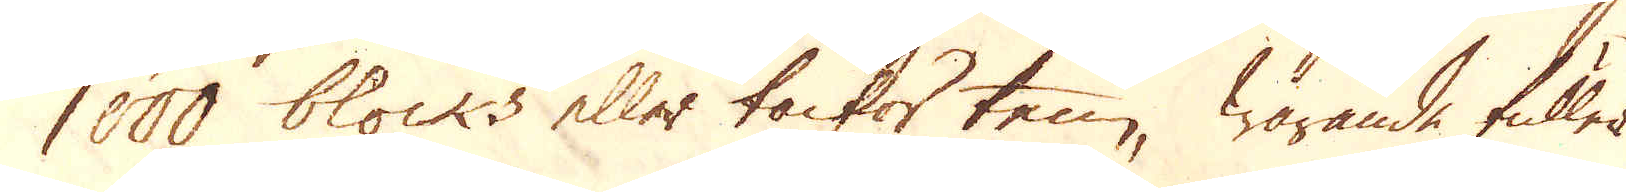1000 blocks eller tackor ten, warande fuller
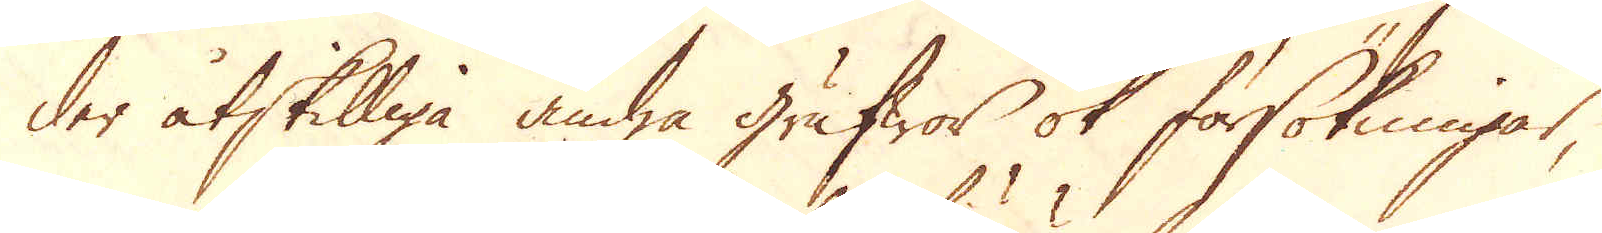der åtskilliga andra grufwor ok försökningar,
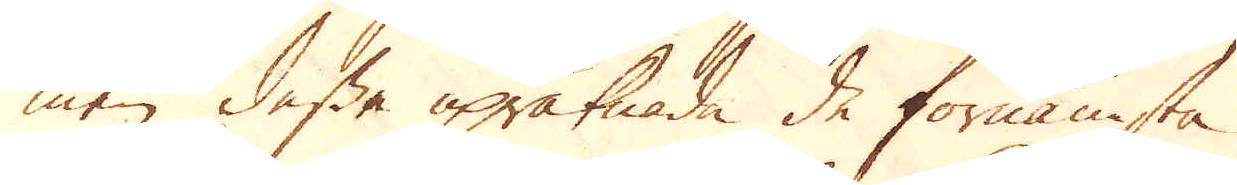men dessa upräknade de förnämsta.
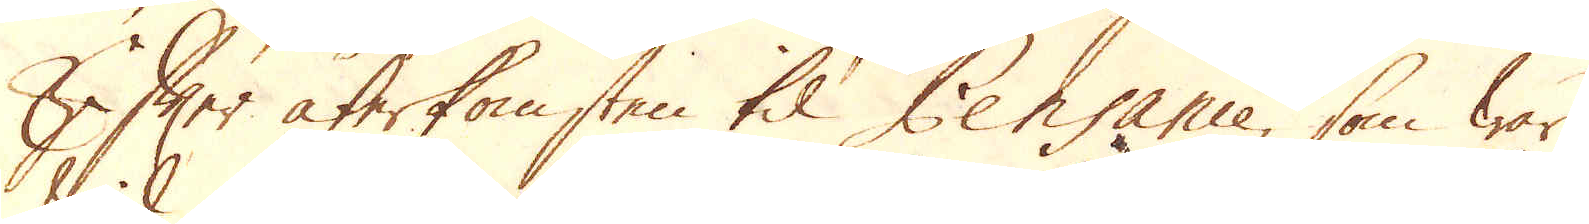Efter återkomsten til Pensance, som war
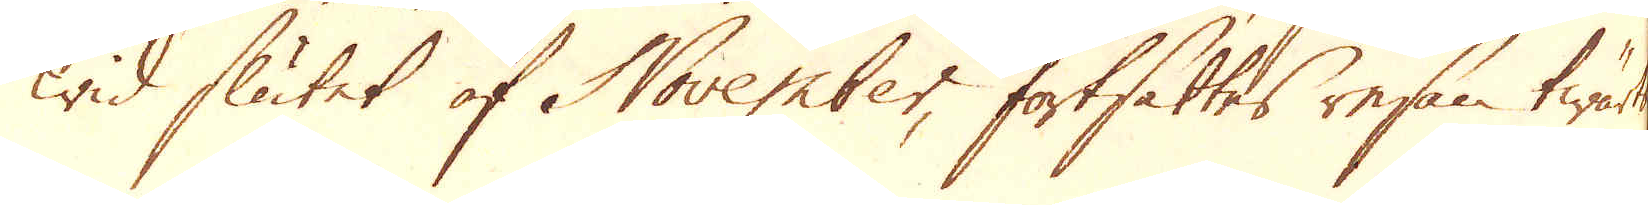wid slutet af November, fortsattes resan twärt
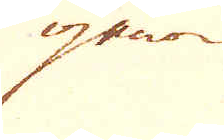igenom
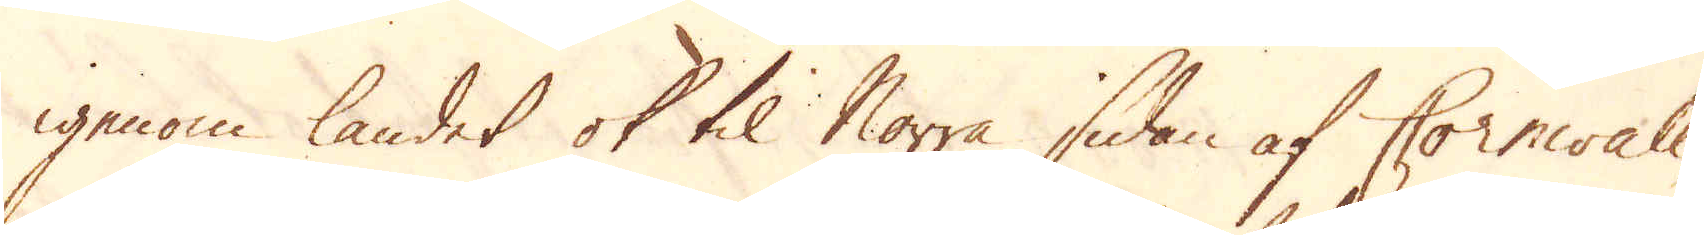igenom landet ok til Norra sidan af Cornwall,
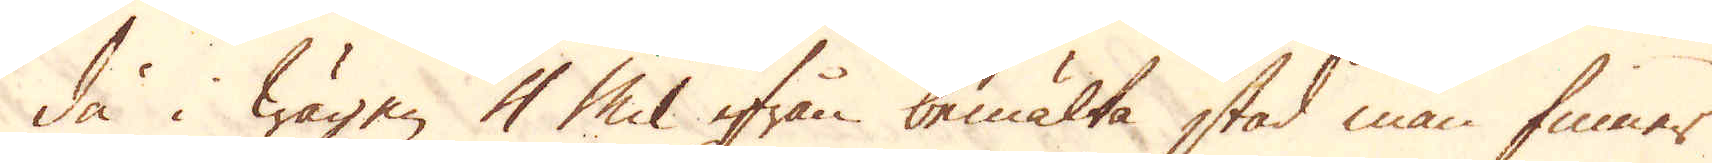då i wägen 4 Mil ifrån bemälta stad man finner
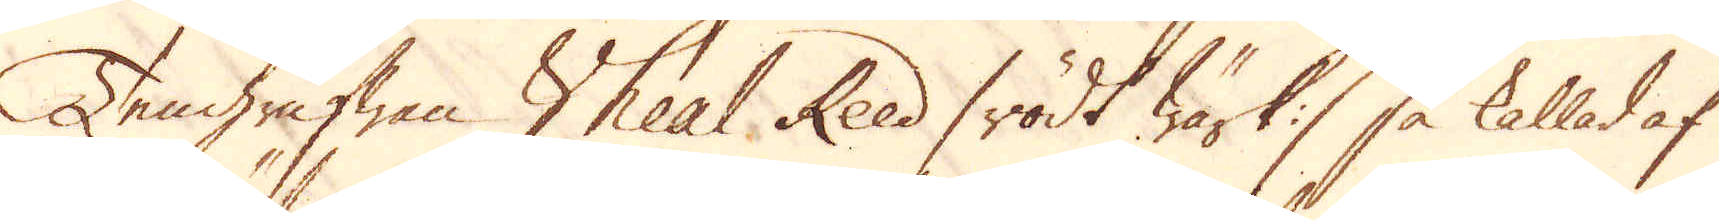Tengrufwan Wheal Reed / rödt wärk :/ så kallad af
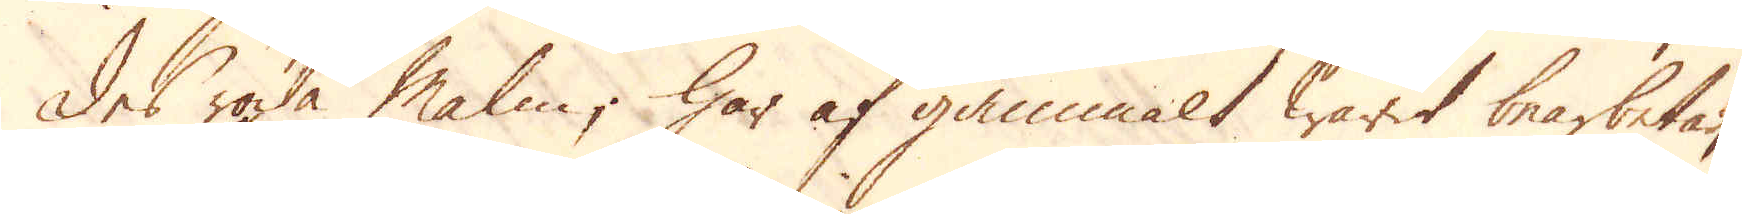des röda Malm; Har af gammalt warit bearbetad,
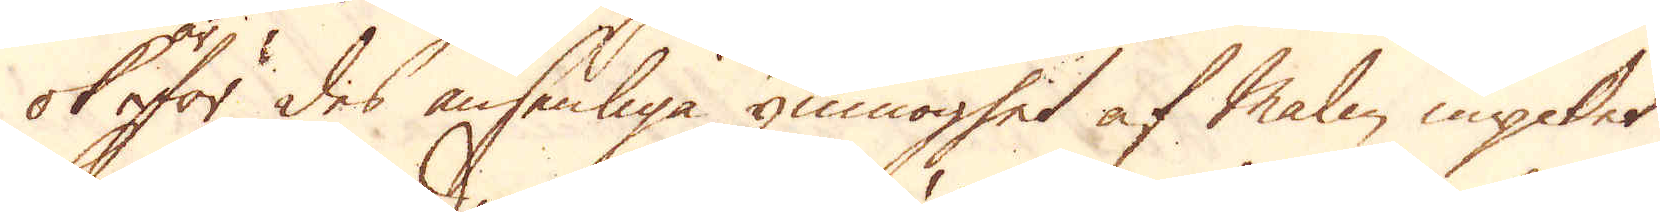ok för des ansenliga ymnoghet af Malm mycket
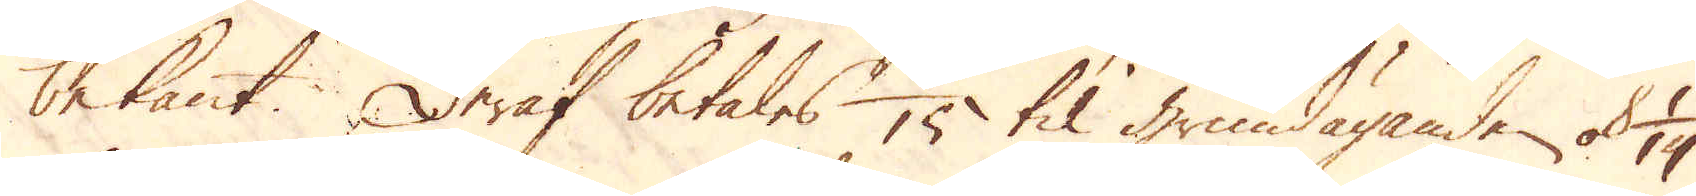bekant. Deraf betalas 1/15 til grundägande ok 1/14
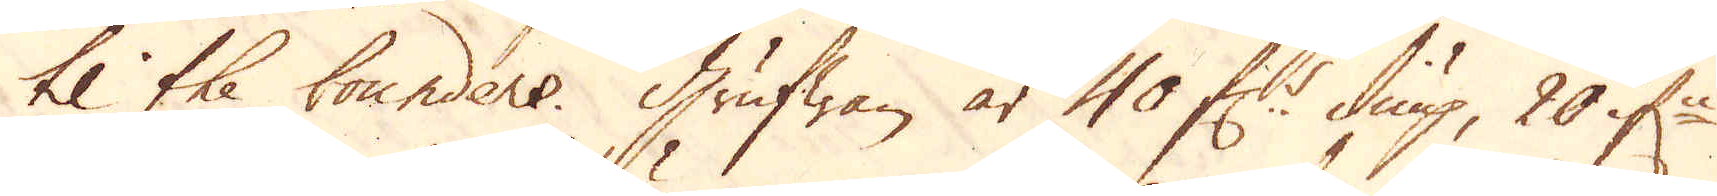til the bounders. Grufwan är 40 f:r diup, 20 if:n
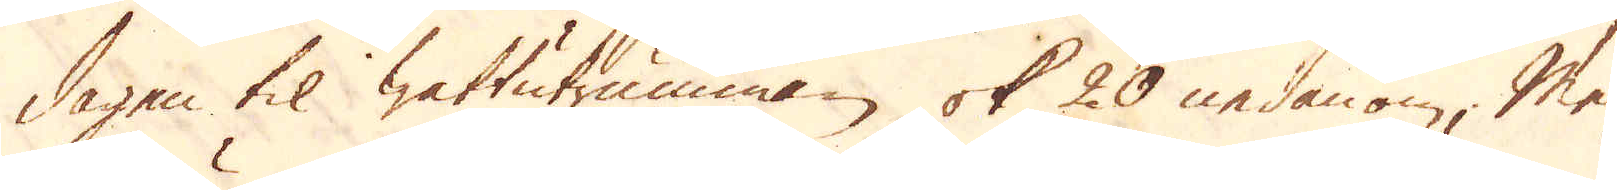dagen til wattutrumman, ok 20 nedanom; Men
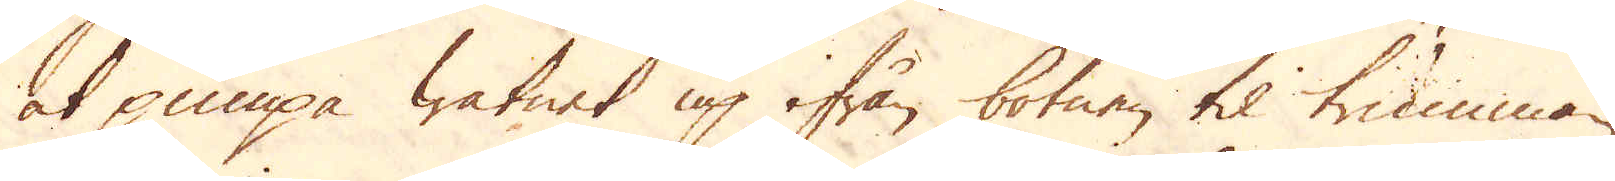at pumpa watnet up ifrån botnen til trumman,
